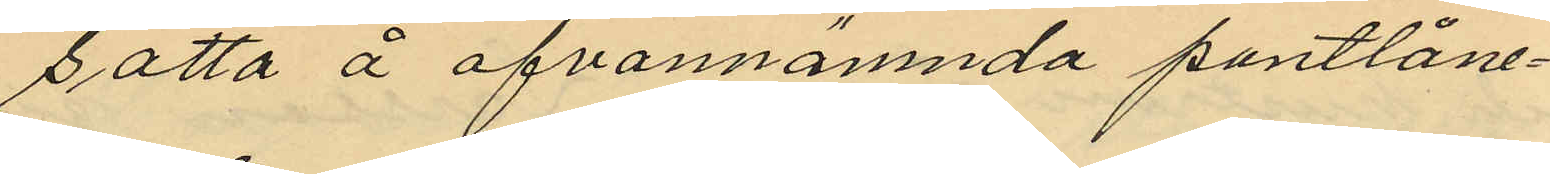satta å ofvannämnda pantlåne¬
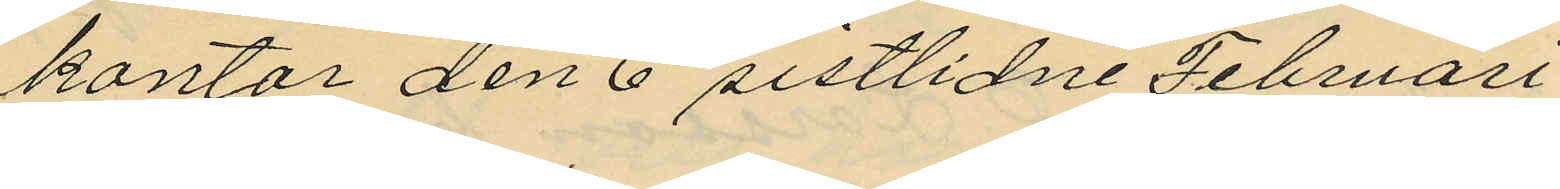kontor den 6 sistlidne Februari
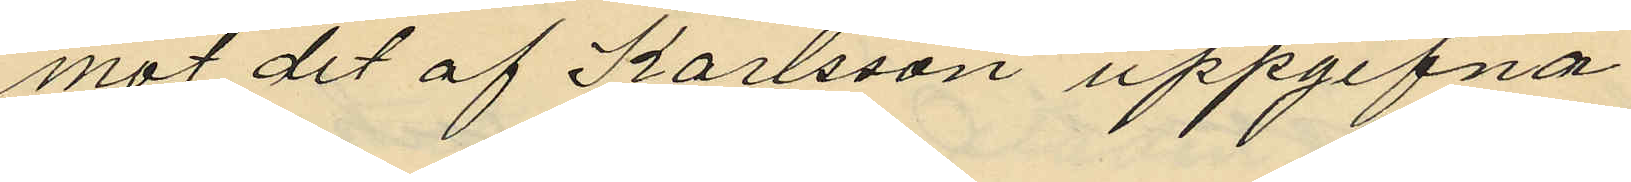mot det af Karlsson uppgifna
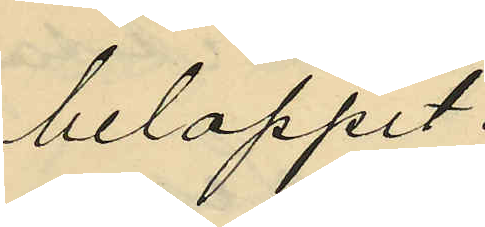beloppet.
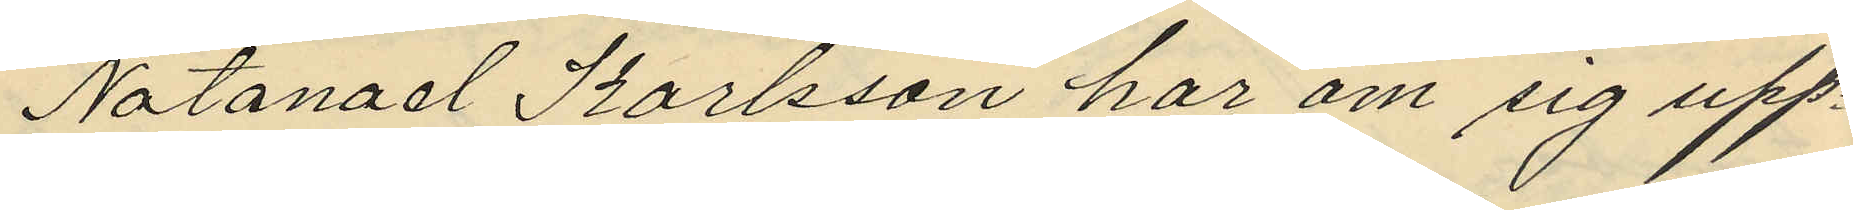Natanael Karlsson har om sig upp¬
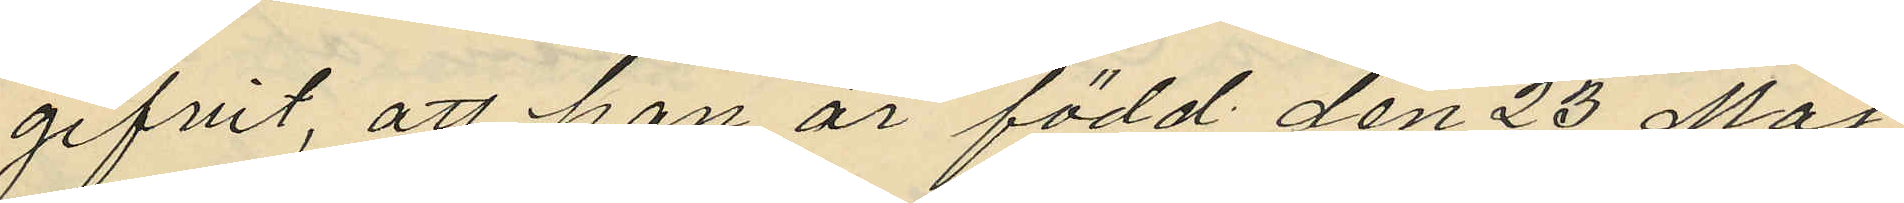gifvit, att han är född den 23 Maj
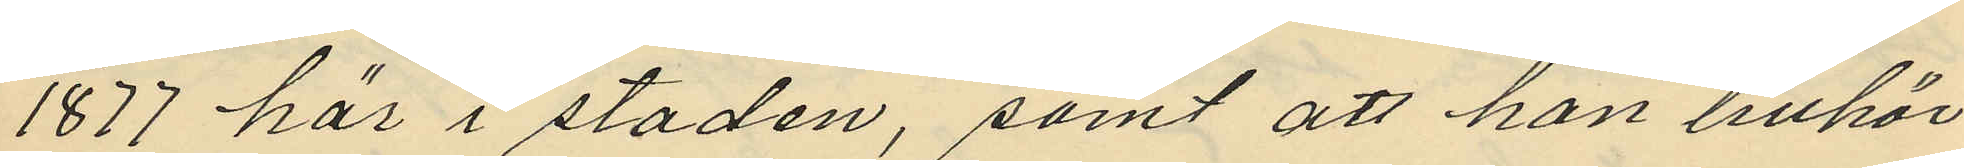1877 här i staden, samt att han tillhör
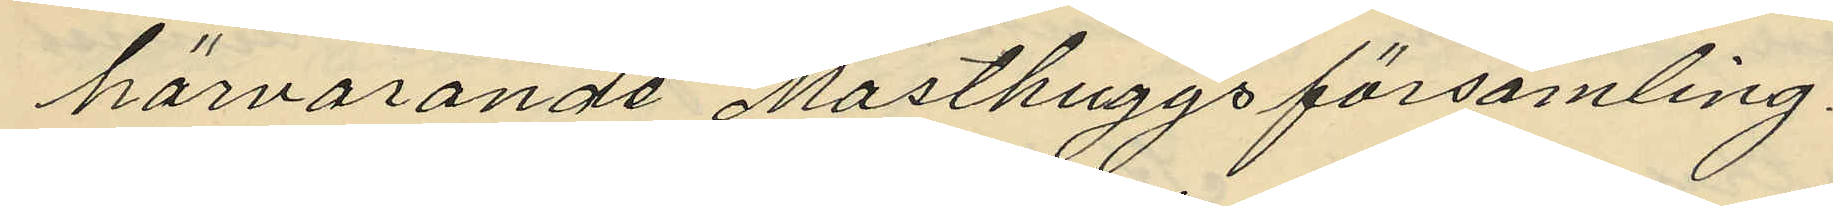härvarande Masthuggs församling.
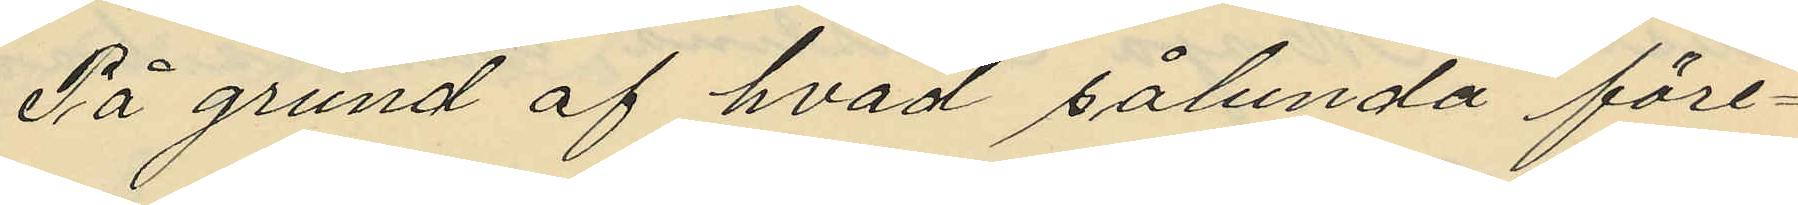På grund af hvad sålunda före¬
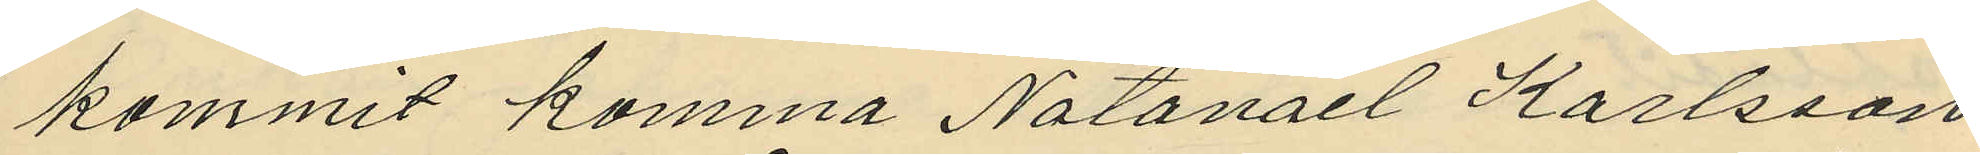kommit komma Natanael Karlsson
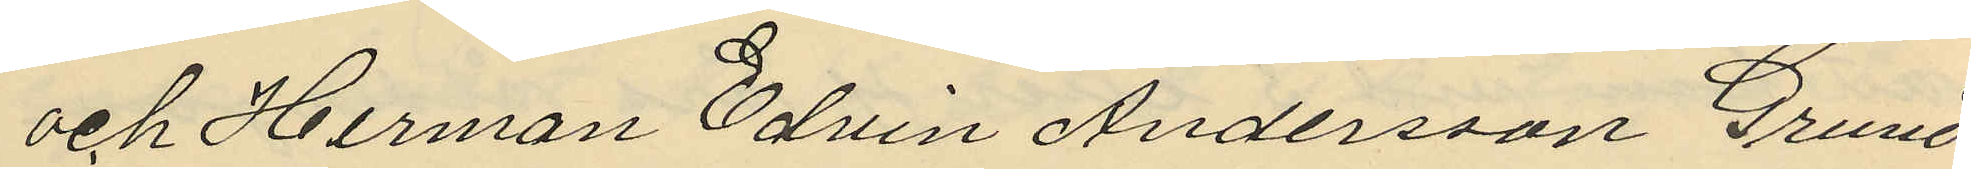och Herman Edvin Andersson Grund
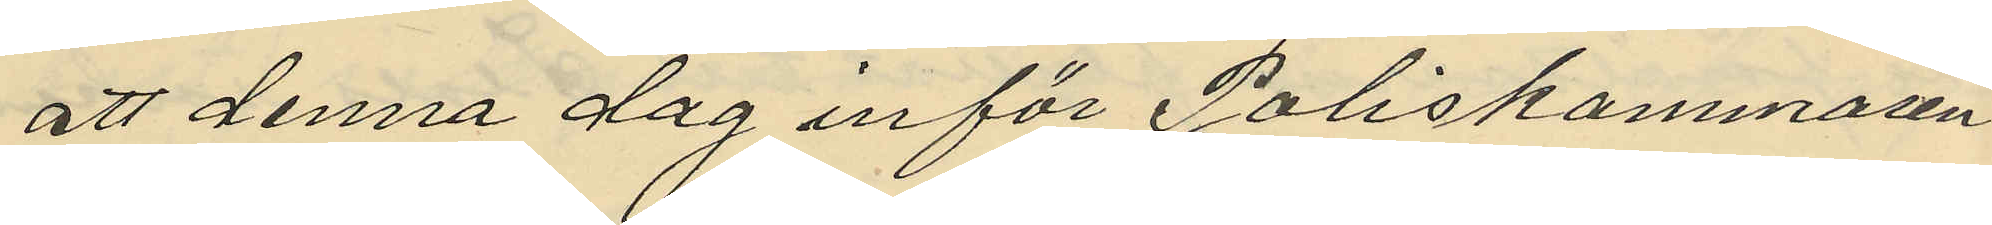att denna dag inför Poliskammaren
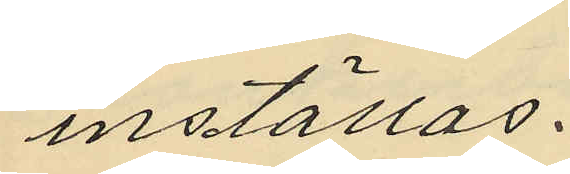inställas.
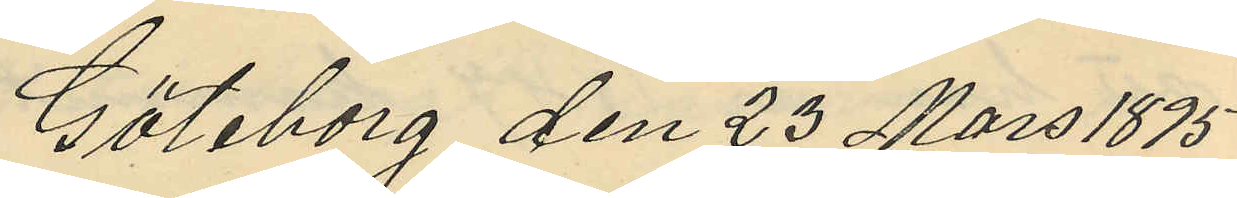Göteborg den 23 Mars 1895
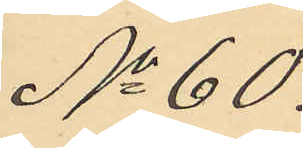No 60.
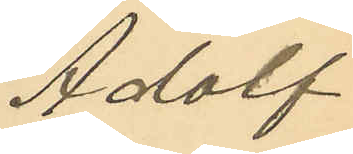Adolf
